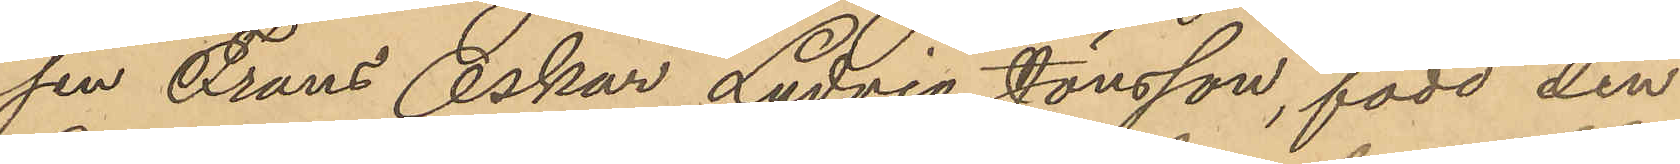sen Frans Oskar Ludvig Jönsson, född den
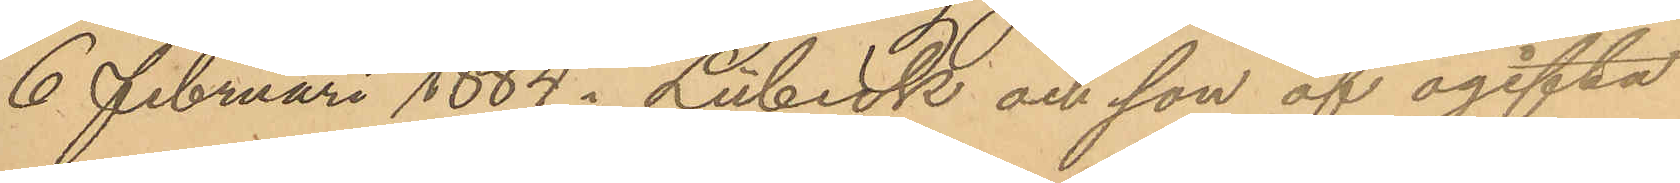6 Februari 1884 i Lübeck och son af ogifta
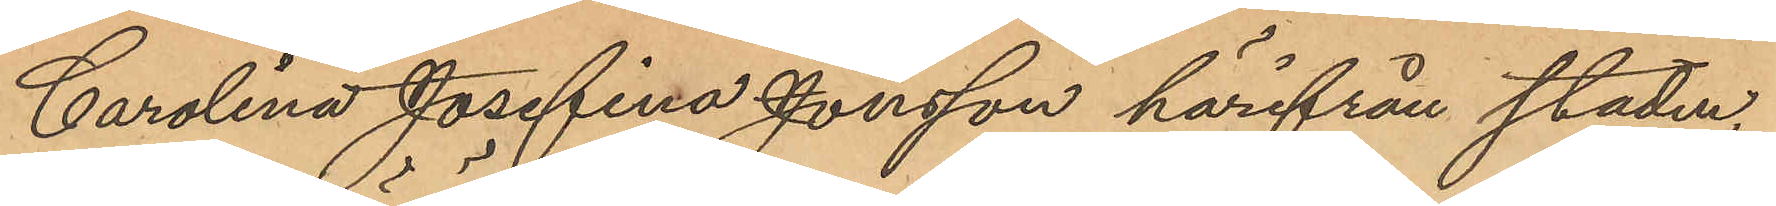Carolina Josefina Jönsson härifrån staden
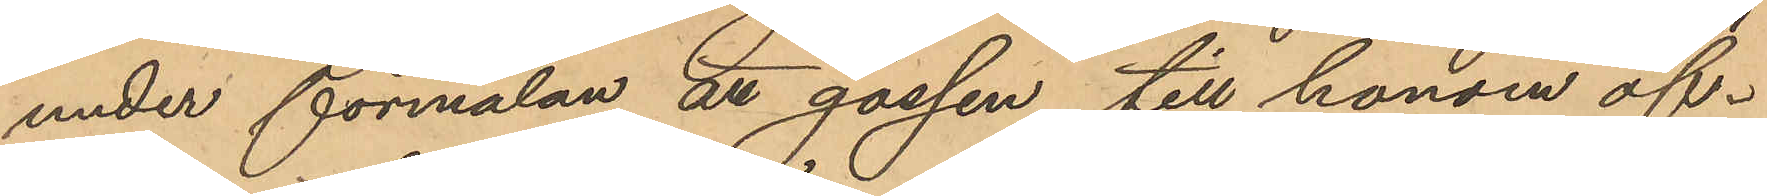under förmälan att gossen till honom öf¬
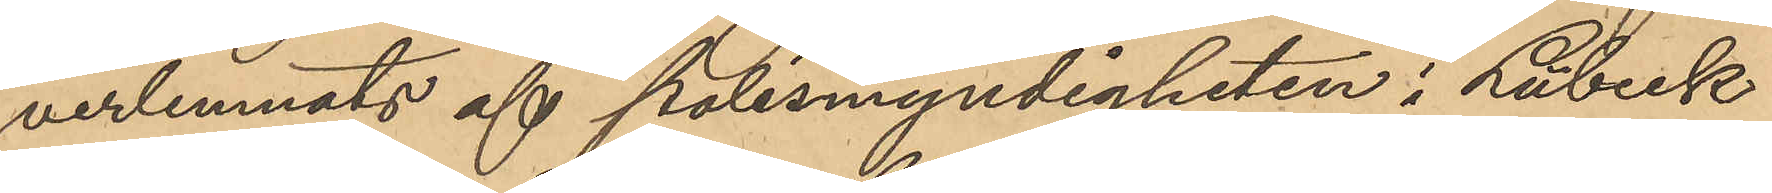verlemnats af polismyndigheten i Lübeck
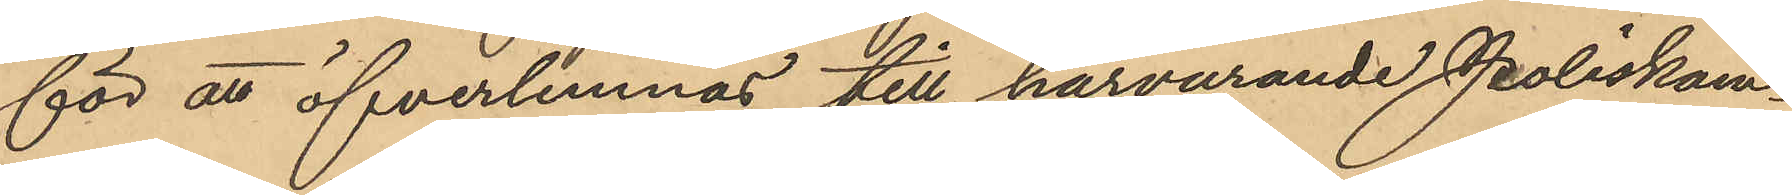för att öfverlemnas till härvarande Poliskam¬
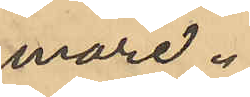mare.
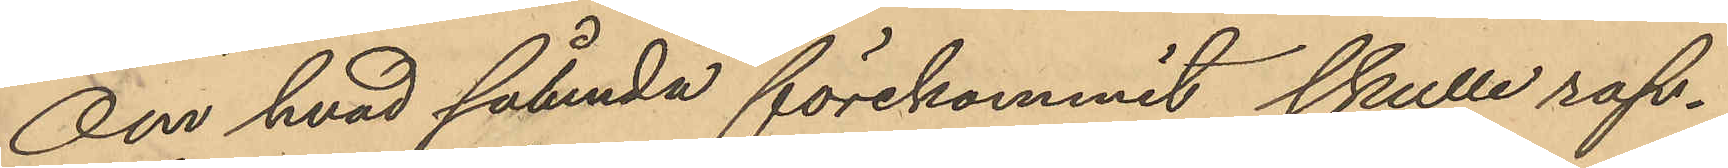Om hvad sålunda förekommit skulle rap¬
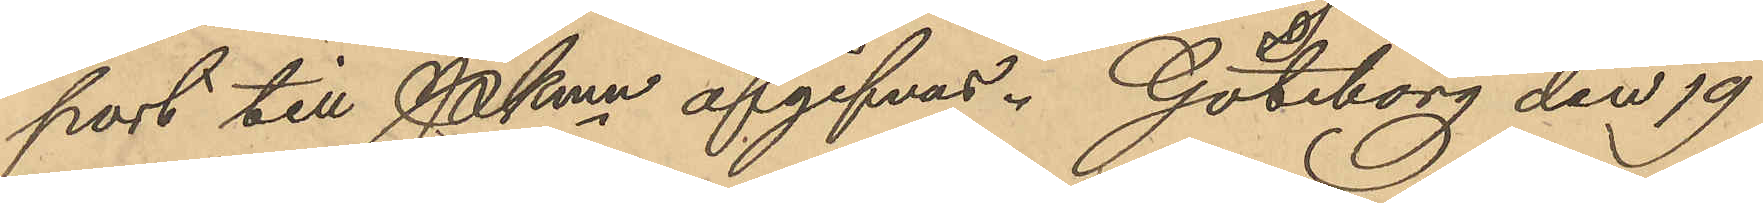port till Pkmn afgifvas. Göteborg den 19
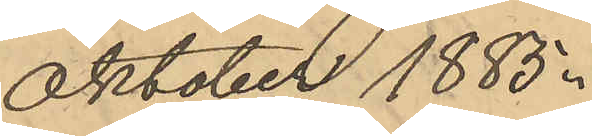Oktober 1885.
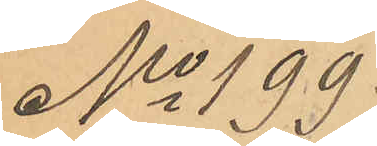No 199
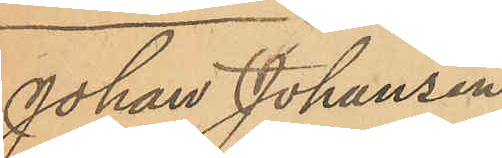Johan Johansen
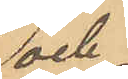och
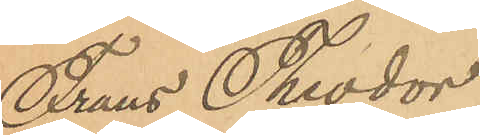Frans Theodor
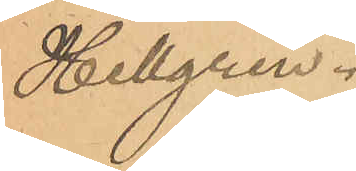Hellgren.
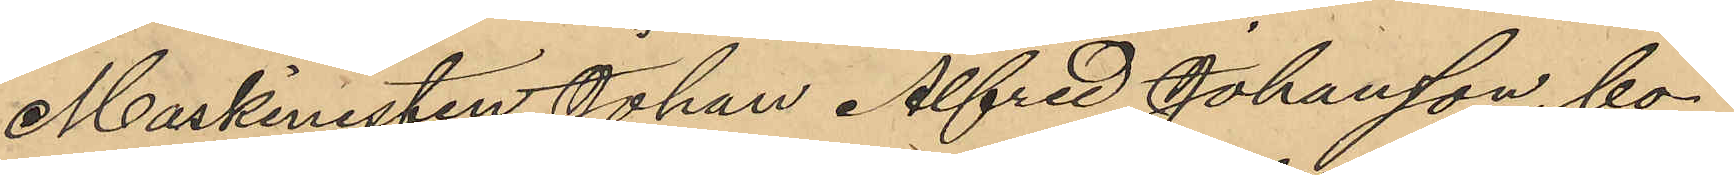Maskinisten Johan Alfred Johansson, bo¬
